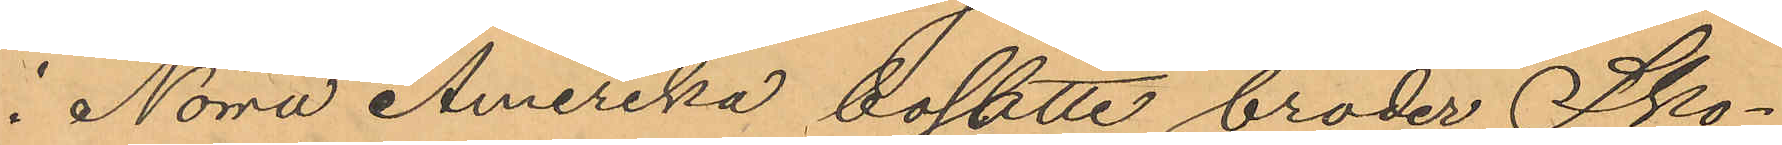i Norra Amerika bosatte broder Sko¬
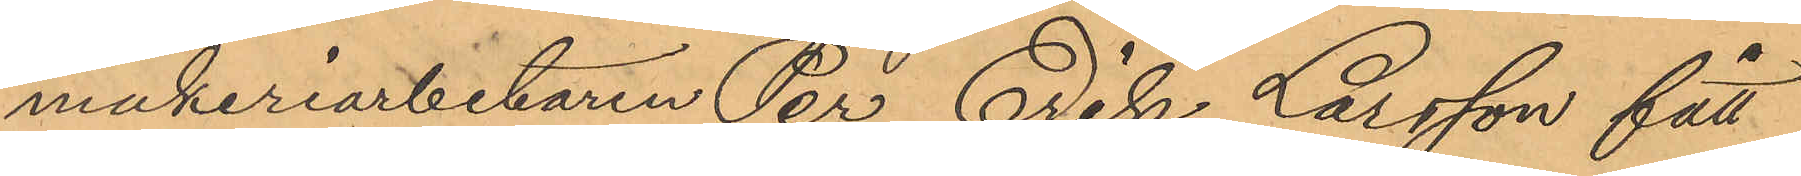makeriarbetaren Per Erik Larsson fått
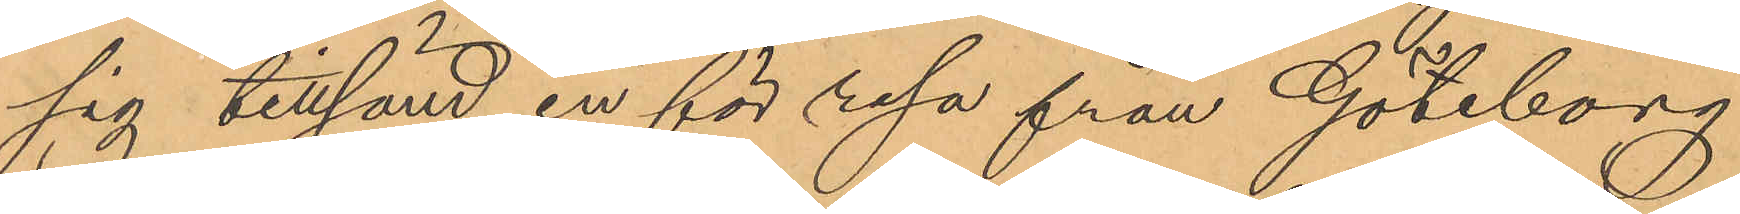sig tillsänd en för resa från Göteborg
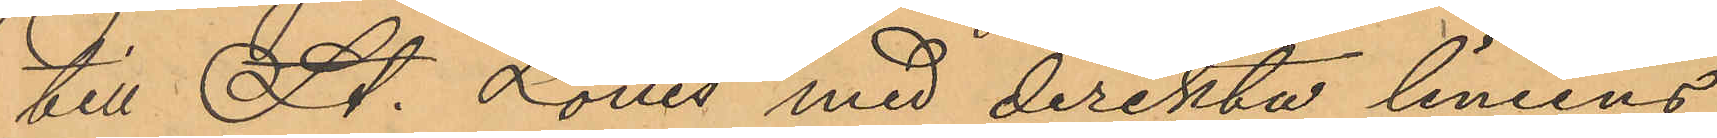till St. Louis med direkta liniens
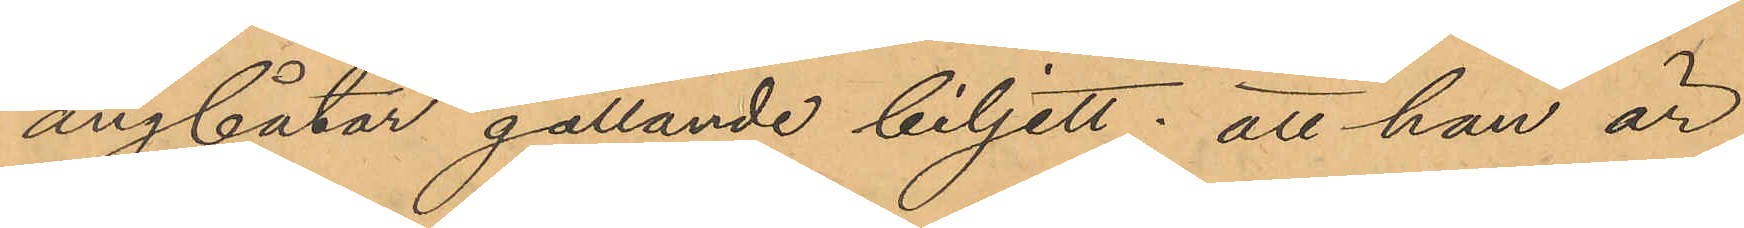ångbåtar gällande biljett; att han är
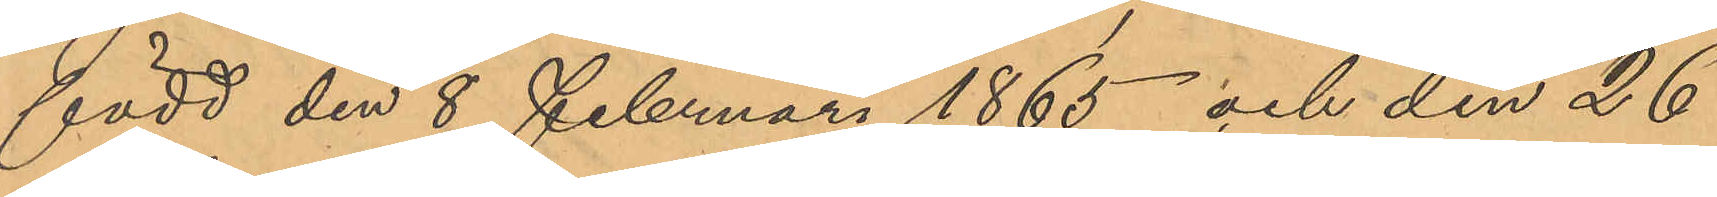född den 8 Februari 1865 och den 26
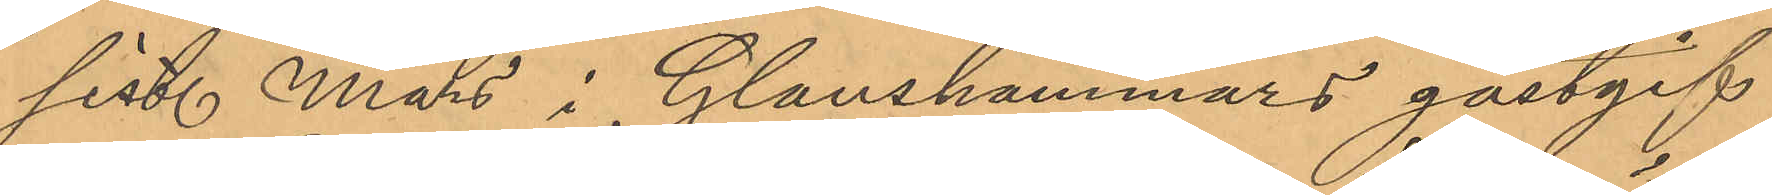sist. Mars i Glanshammars gästgif¬
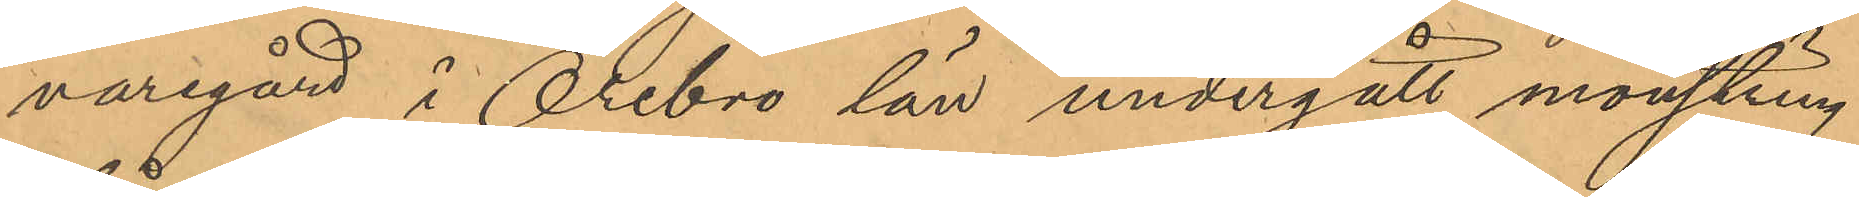varegånd i Örebro län undergått mönstring
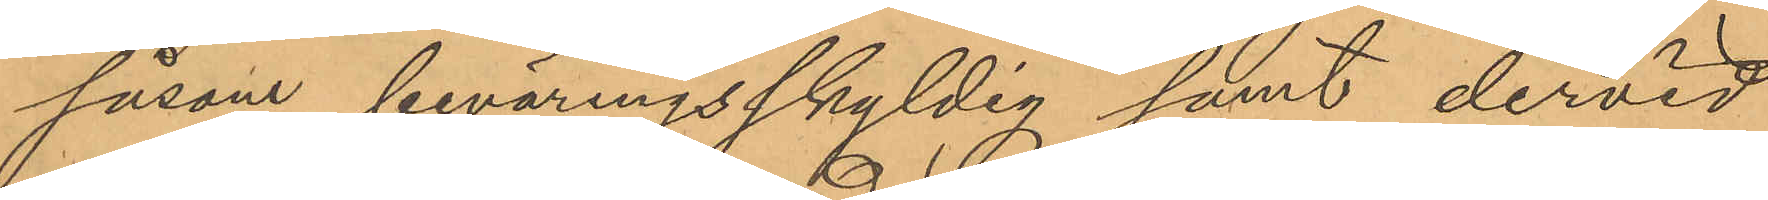såsom beväringsskyldig samt dervid
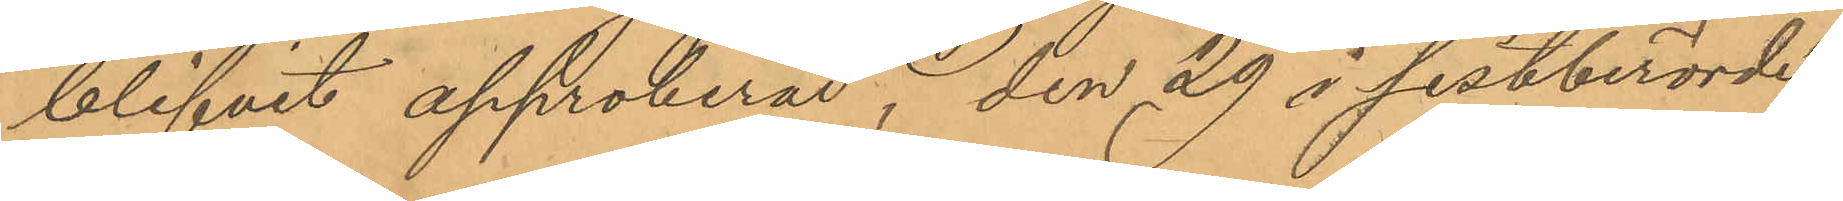blifvit approberad, den 29 i sistberörde
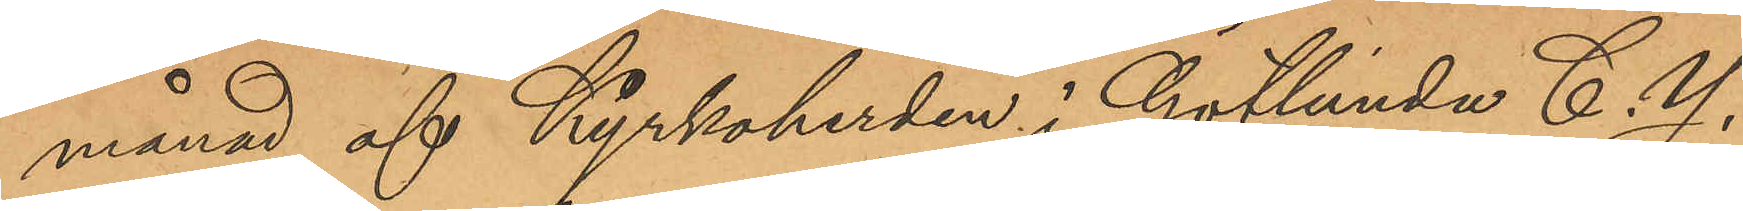månad af Kyrkoherden i Götlunda C. Y.
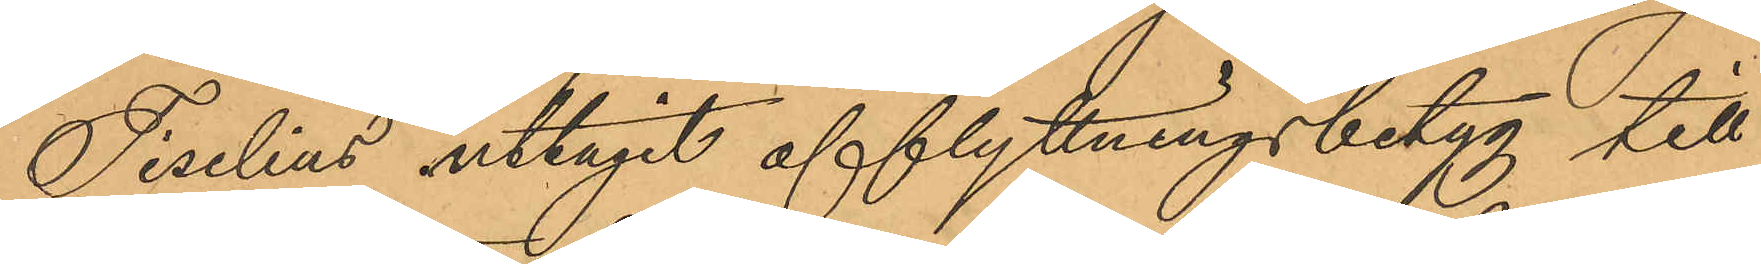Tiselius uttagit afflyttningsbetyg till
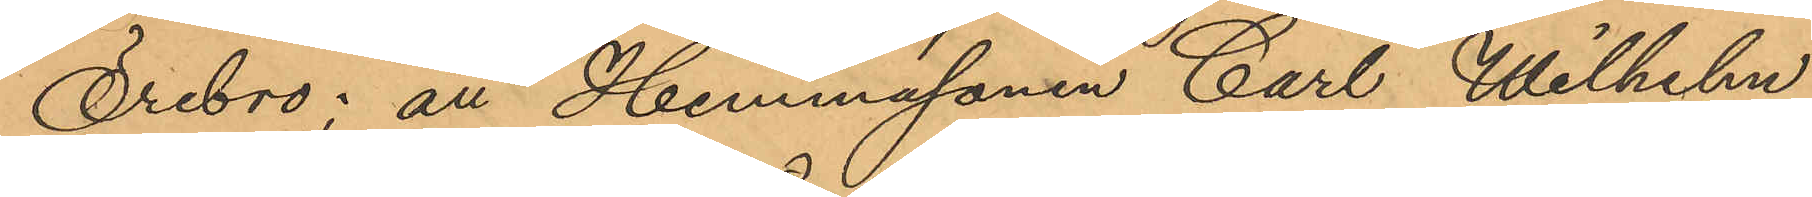Örebro; att Hemmasonen Carl Wilhelm
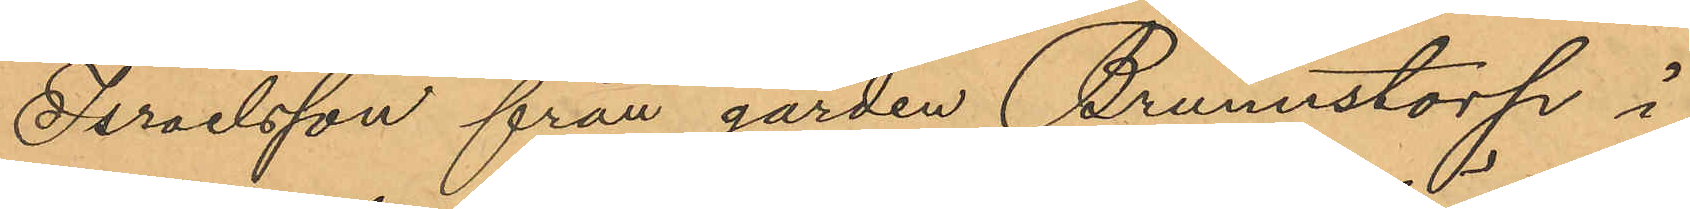Israelsson från gården Brunnstorp å
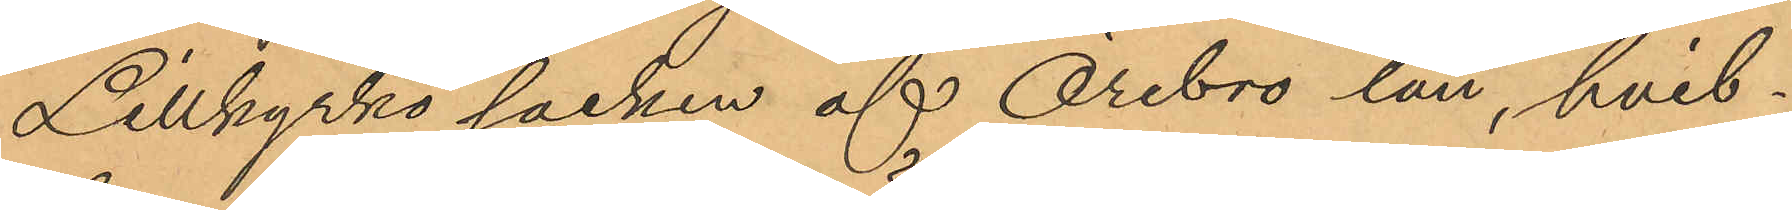Lillkyrko socken af Örebro län, hvil¬
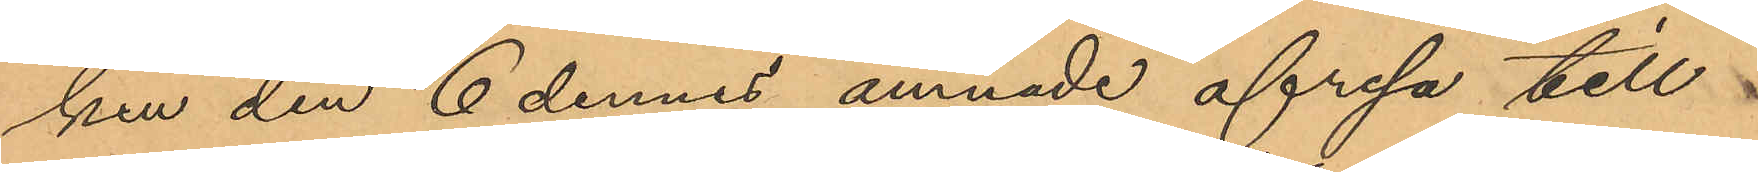ken den 6 dennes ämnade afresa till¬
